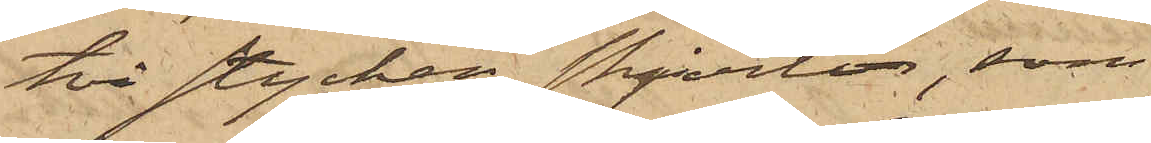två stycken skjortor, som
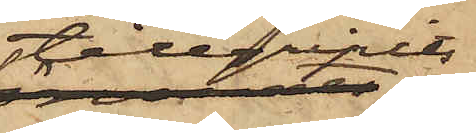tillgripits
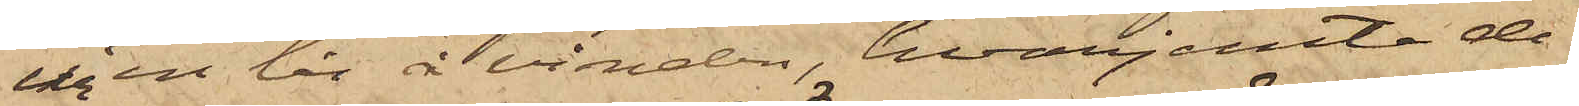ur en lår å vinden, hvarjemte de
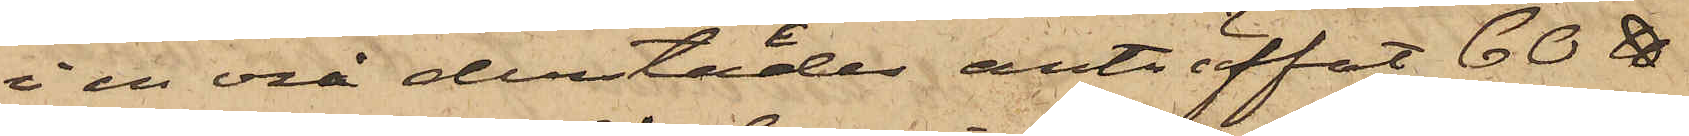i en vrå derstädes anträffat 60 ℔
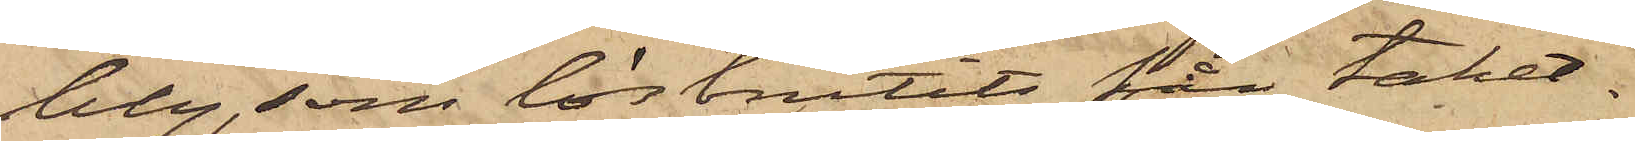bly, som lösbrutits för taket.
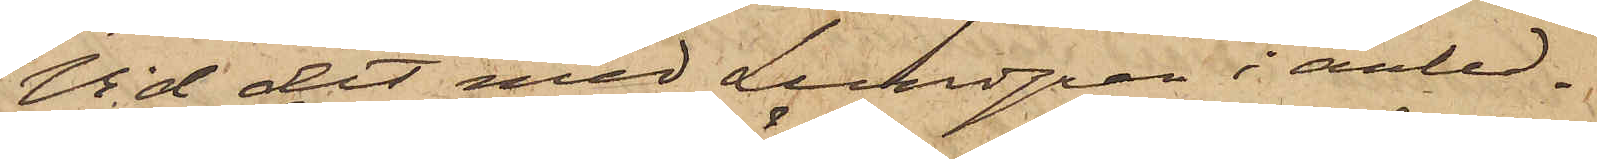Vid det med Lundgren i anled¬
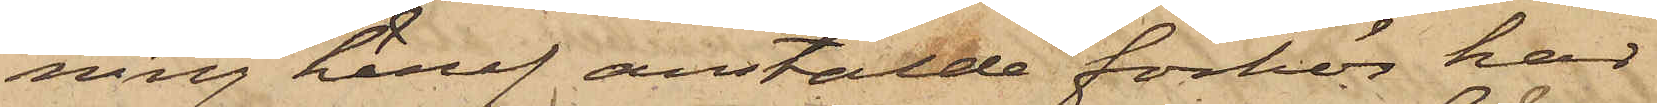ning häraf anstälde förhör har
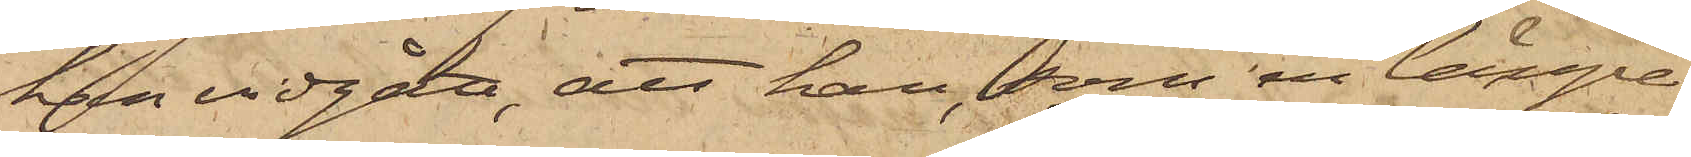han vidgått, att han, som en längre
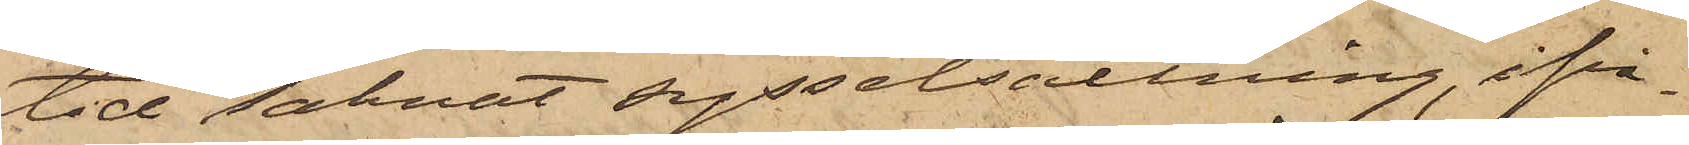tid saknat sysselsättning, ifrå¬
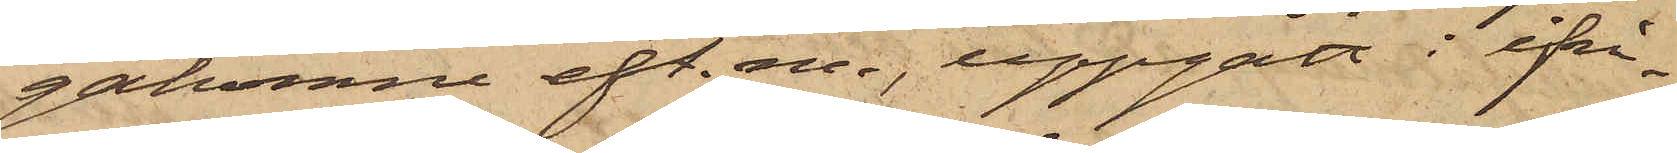gakomne eft. m., uppgått i ifrå¬
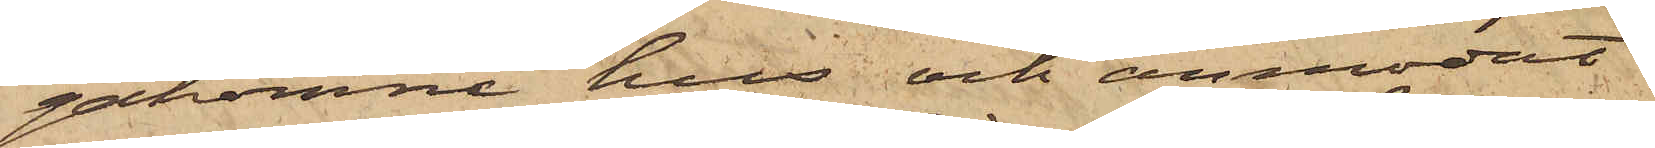gakomne hus och anmodat
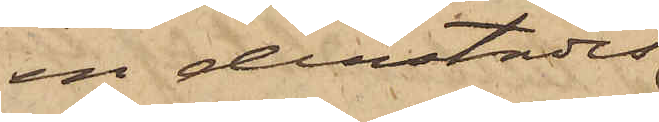en derstädes
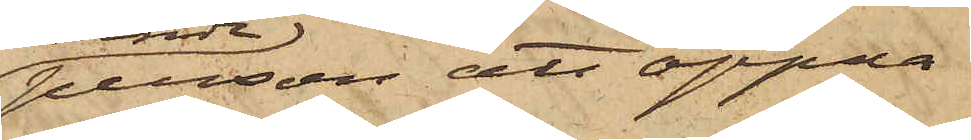person att öppna
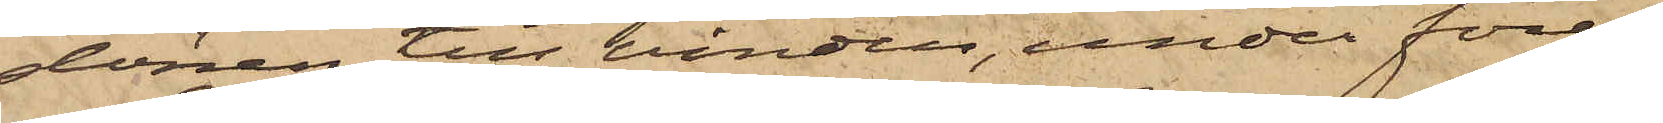dörren till vinden, under före¬
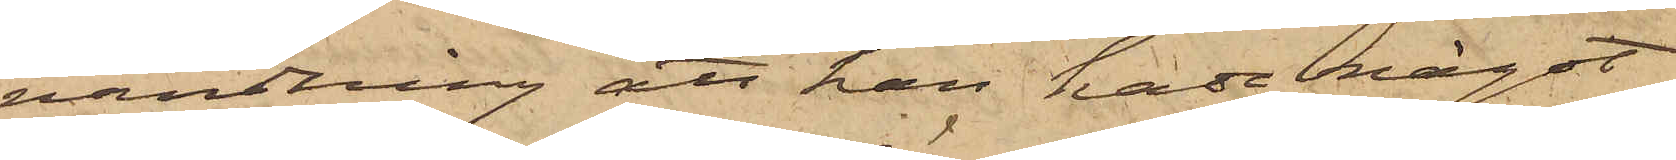vändning att han hade något
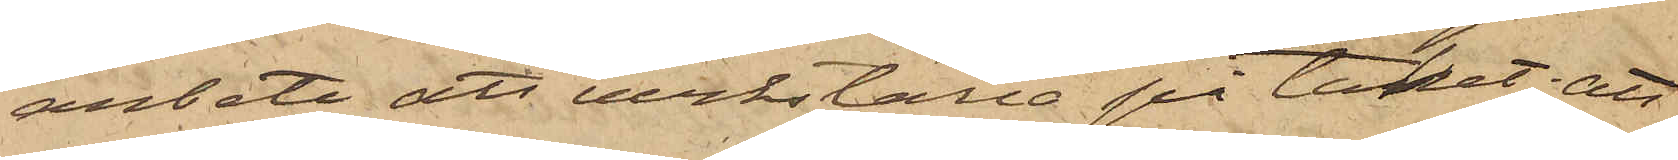arbete att verkställa på taket; att
